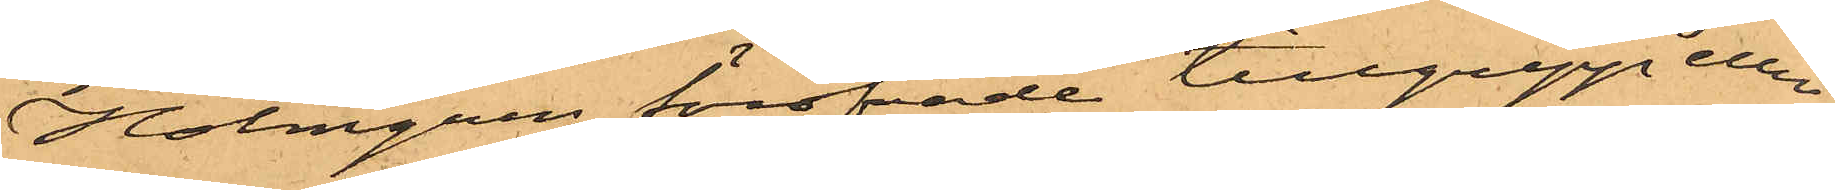Holmgren föröfvade tillgrepp eller
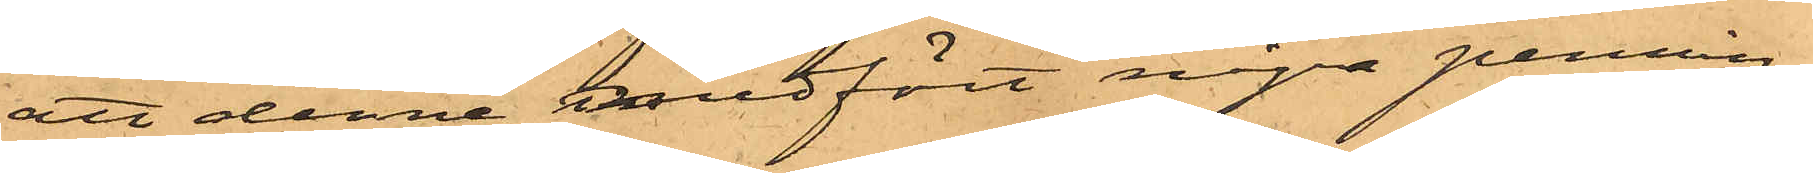att denne medfört några pennin¬
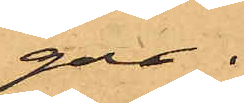gar.
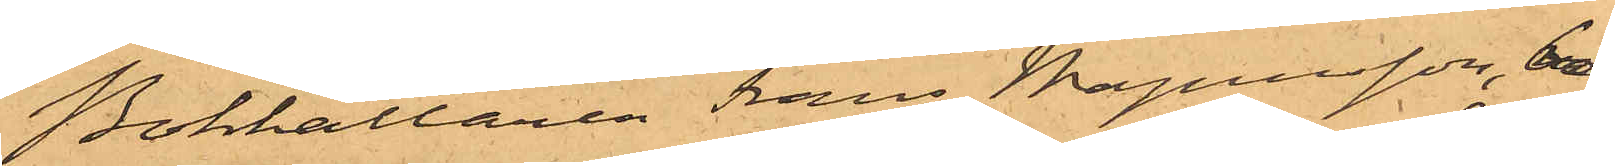Bokhållaren Frans Magnusson, bo¬
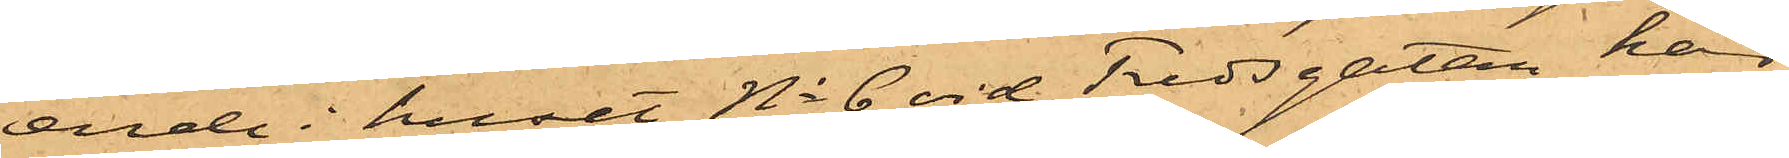eende i huset No 6 vid Fredsgatan, har
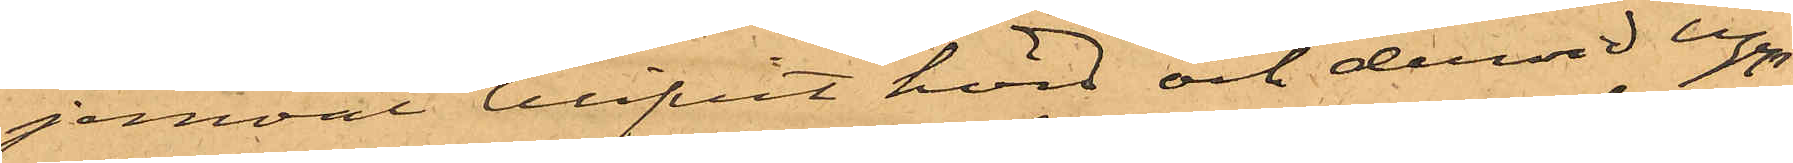jemväl blifvit hörd och dervid upp¬
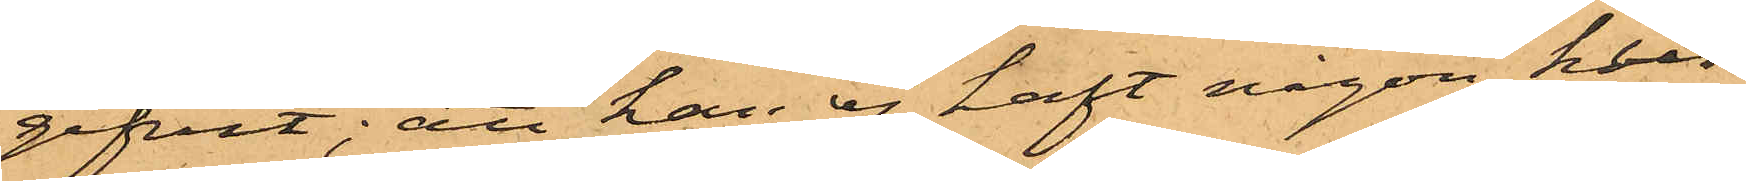gifvit: att han ej haft någon kun¬
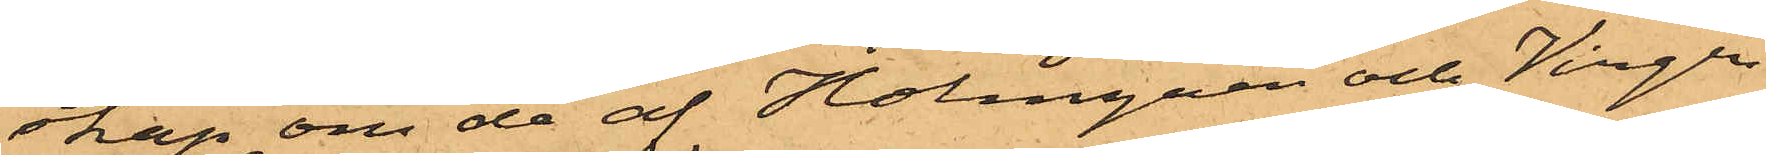skap om de af Holmgren och Virgin
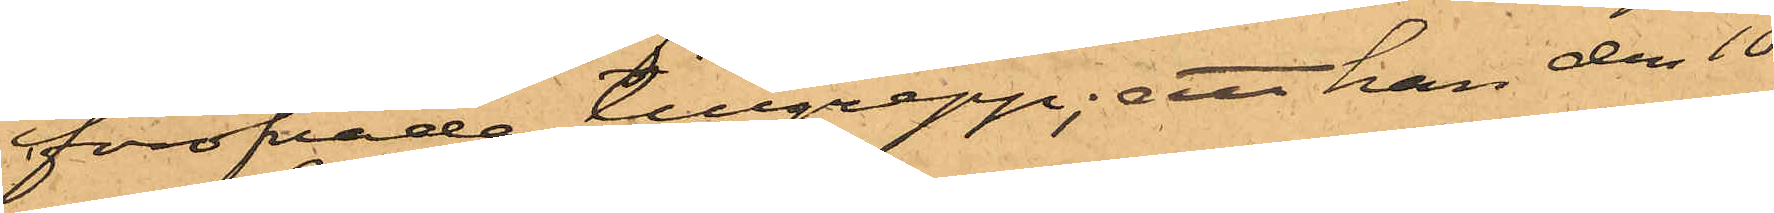föröfvade tillgrepp; att han den 10
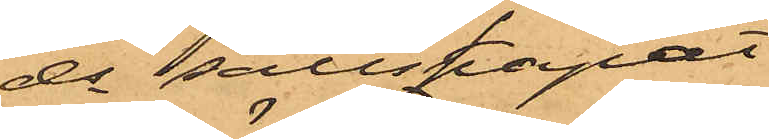ds sällskapat
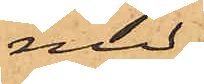med
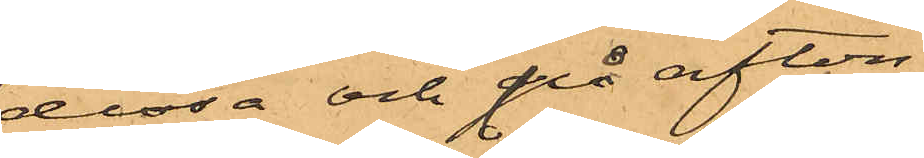dessa och på afton
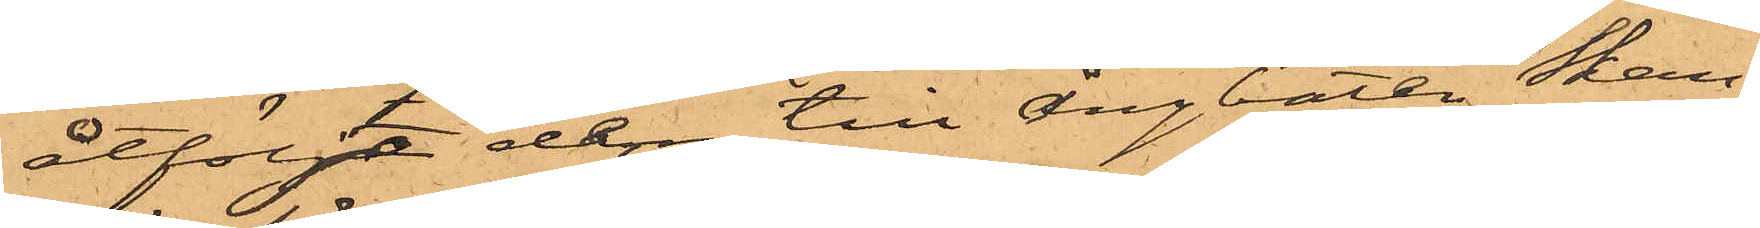åtföljt dem till ångbåten Skan¬
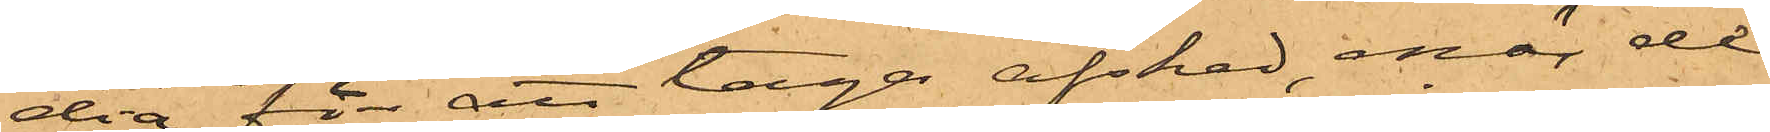dia för att taga afsked, enär de
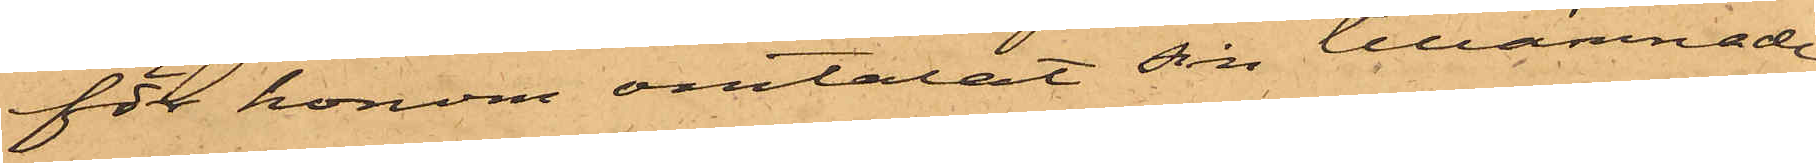för honom omtalat sin tillämnade
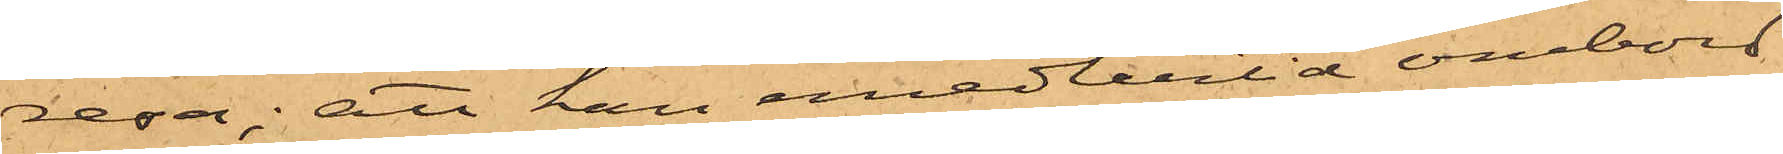resa; att han emedlertid ombord
